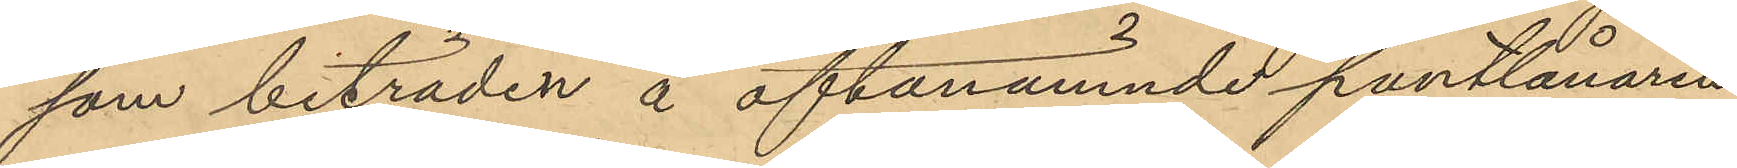som biträden å oftanämnde pantlånaren
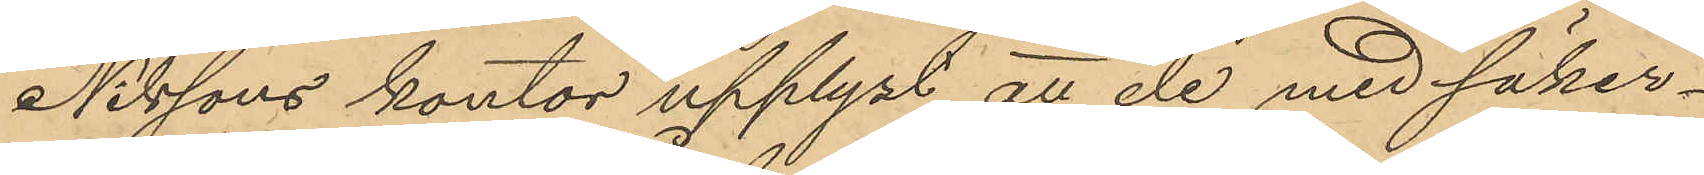Nilssons kontor upplyst att de med säker¬
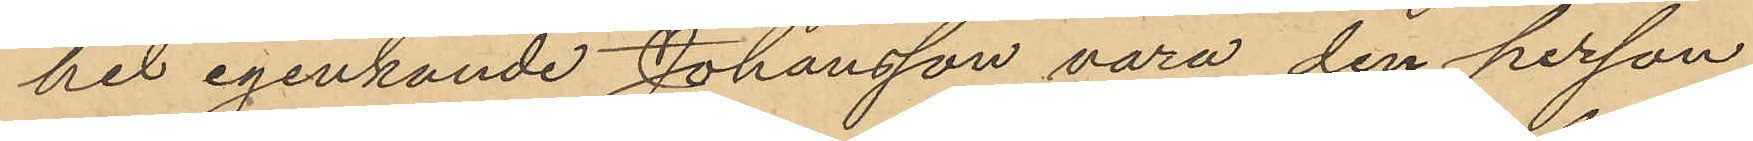het igenkände Johansson vara den person
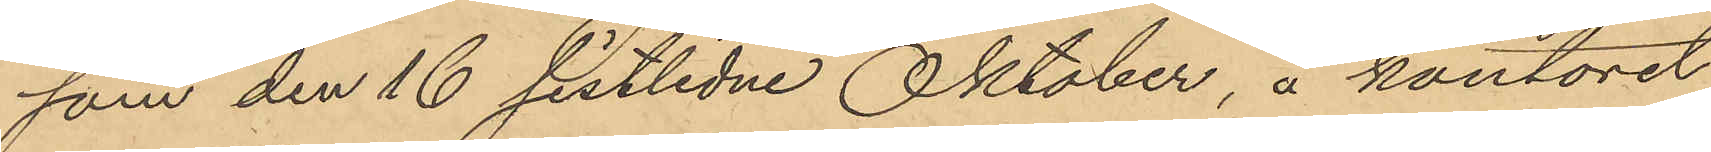som den 16 sistlidne Oktober, å kontoret
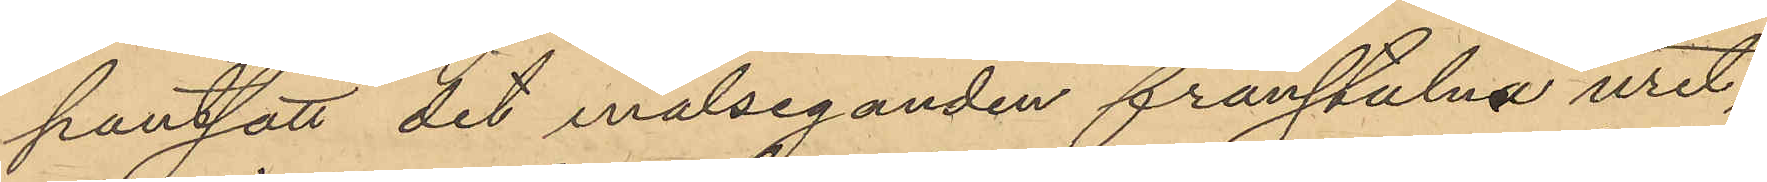pantsatt det målseganden frånstulna uret,
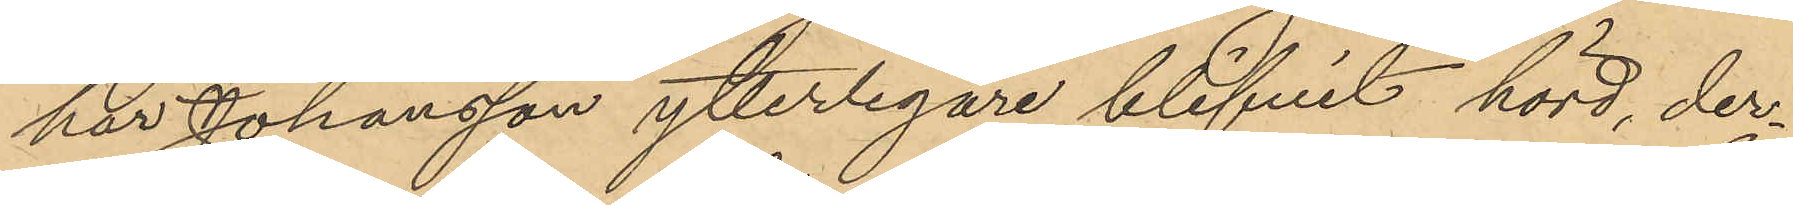har Johansson ytterligare blifvit hörd, der¬
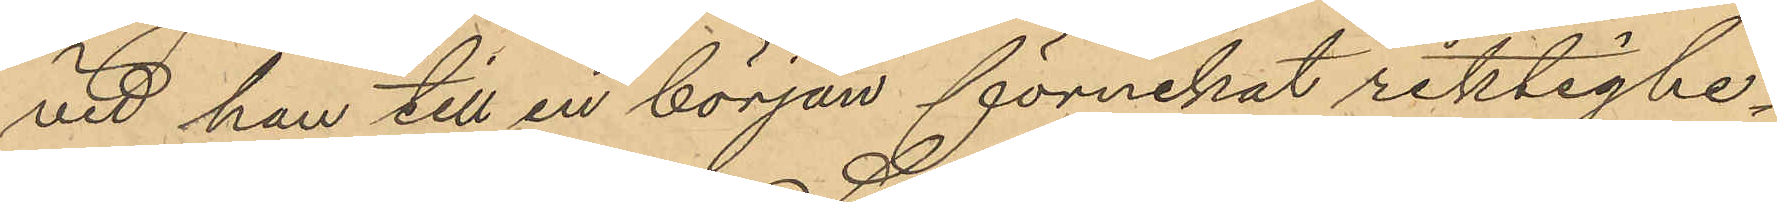vid han till en början förnekat riktighe¬
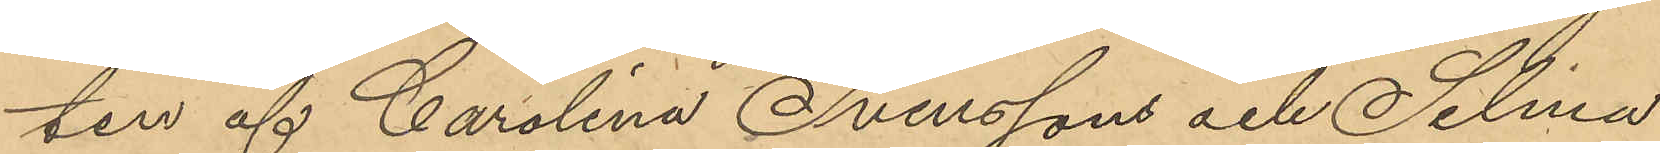ten af Carolina Svenssons och Selima
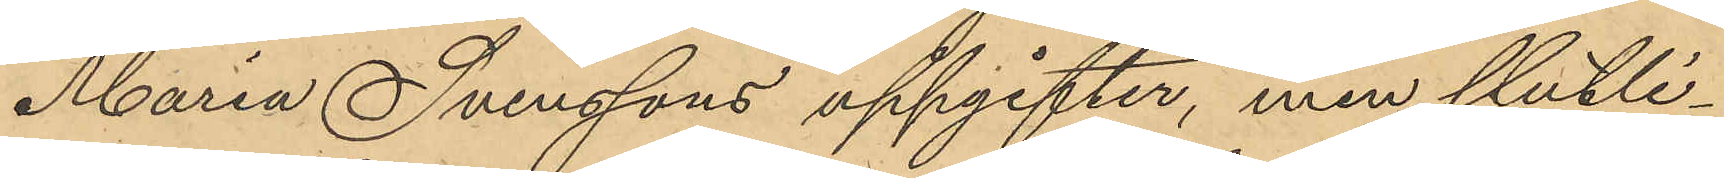Maria Svenssons uppgifter, men slutli¬
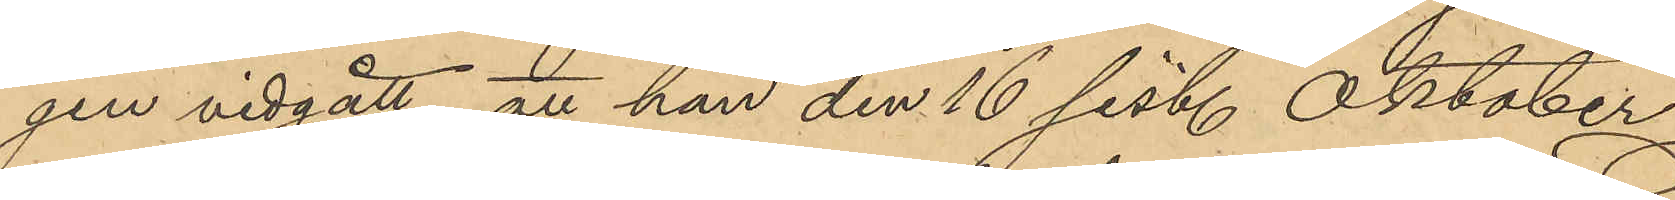gen vidgått att han den 16 sist. Oktober
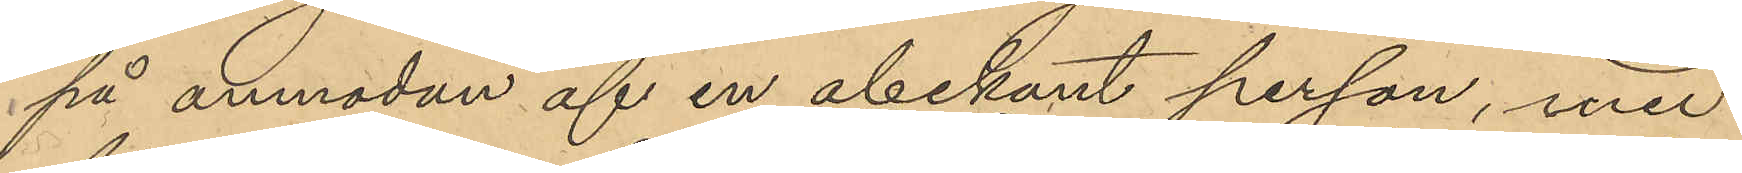på anmodan af en obekant person, med
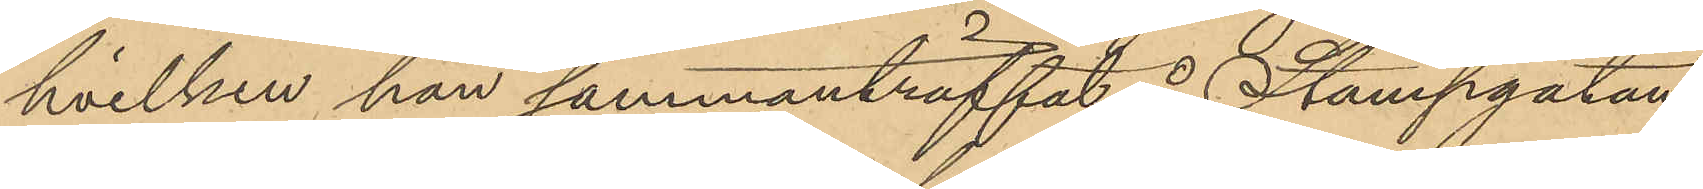hvilken han sammanträffat å Stampgatan
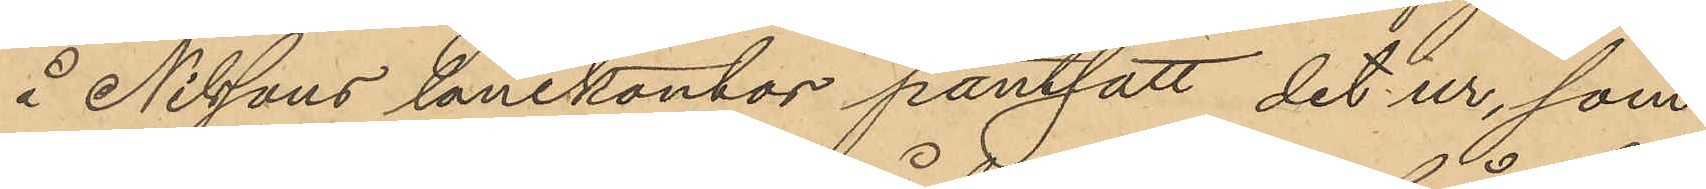å Nilssons lånekontor pantsatt det ur, som
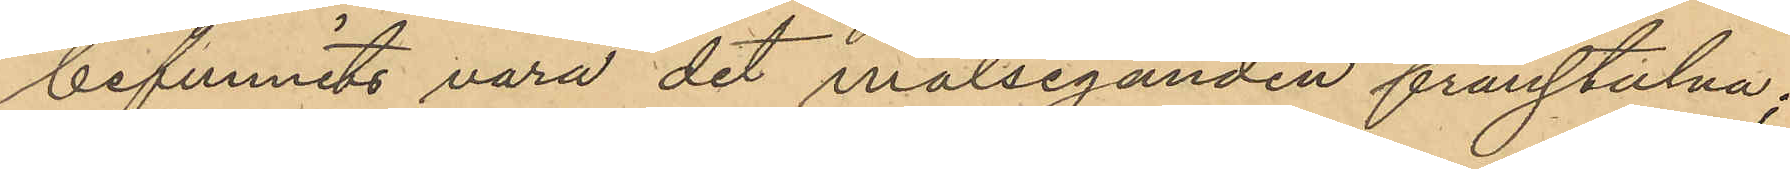befunnits vara det målseganden frånstulna;
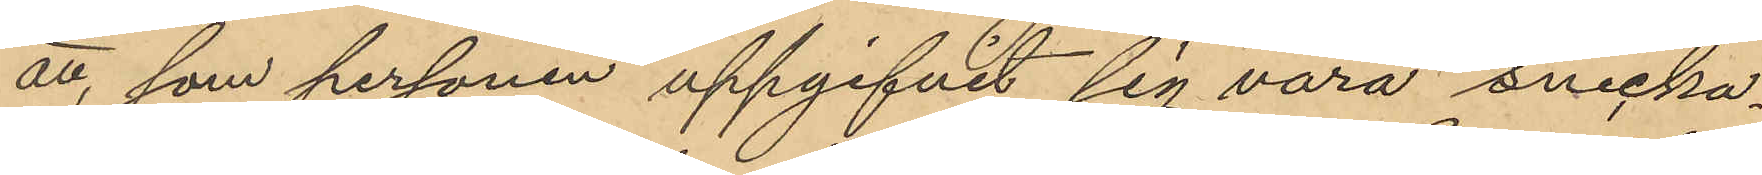att, som personen uppgifvit sig vara snicka¬
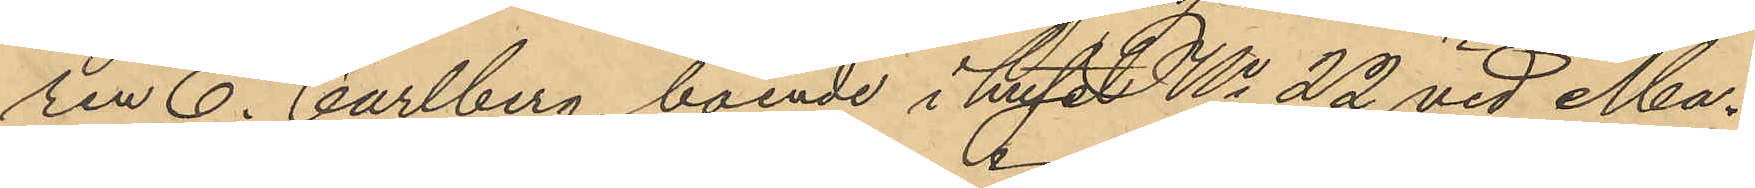ren C. Carlberg, boende i huset No 22 vid Ma¬
